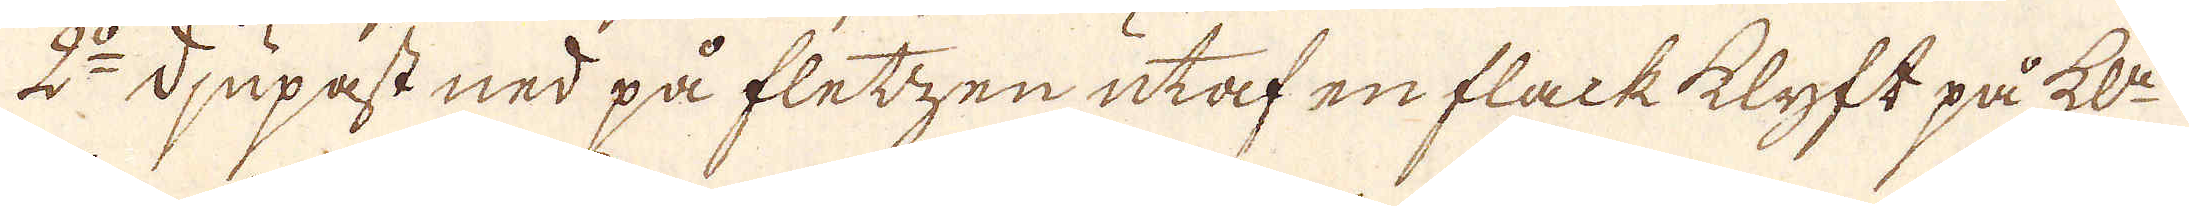2:o djupast ned på fletzen utaf en flack klyft på kl:n
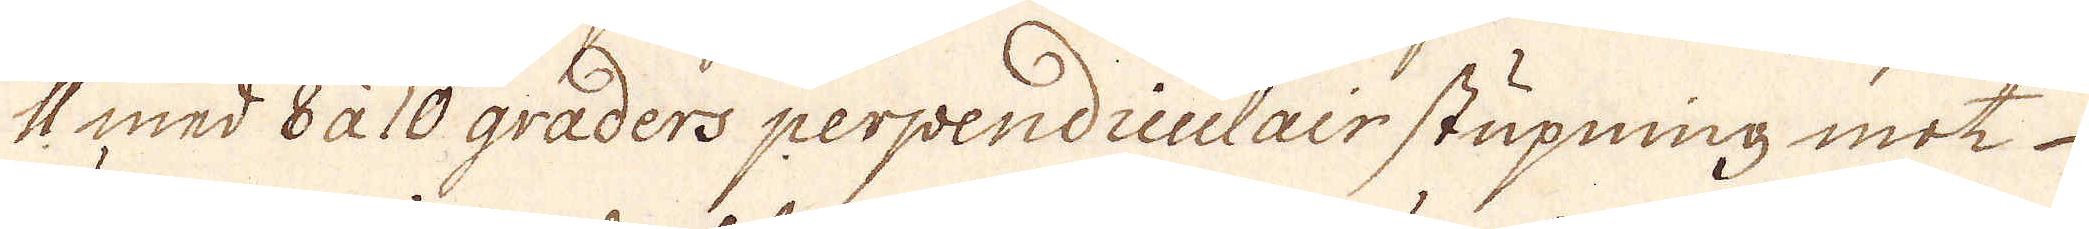11 med 8 à 10 graders perpendiculair stupning mot
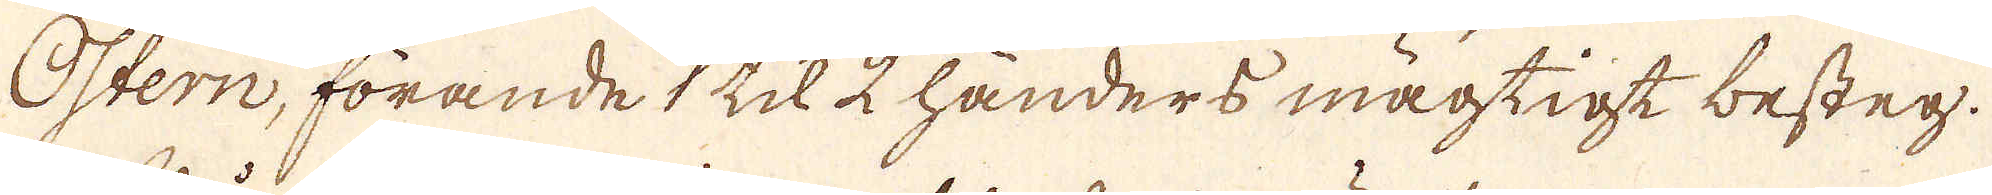Östern, förande 1 til 2 händers mägtigt besteg.
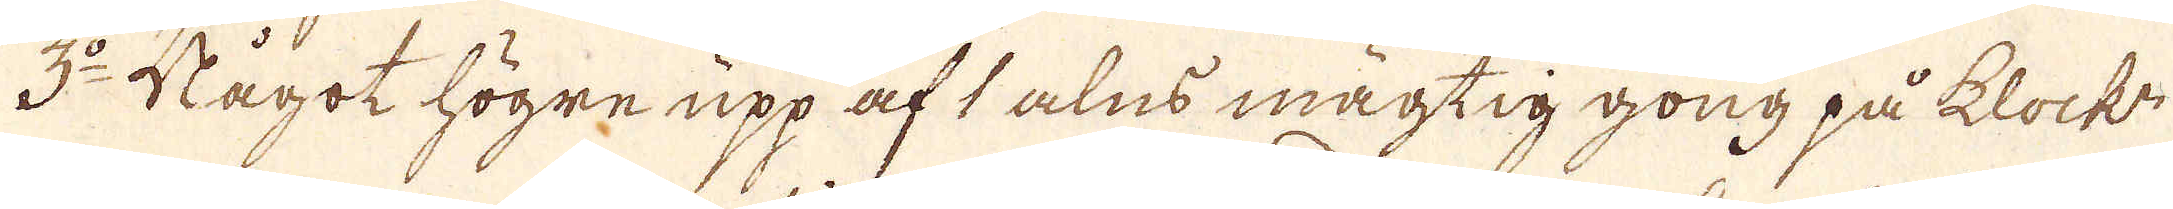3:o Något högre upp af 1 alns mägtig gong på klock:n
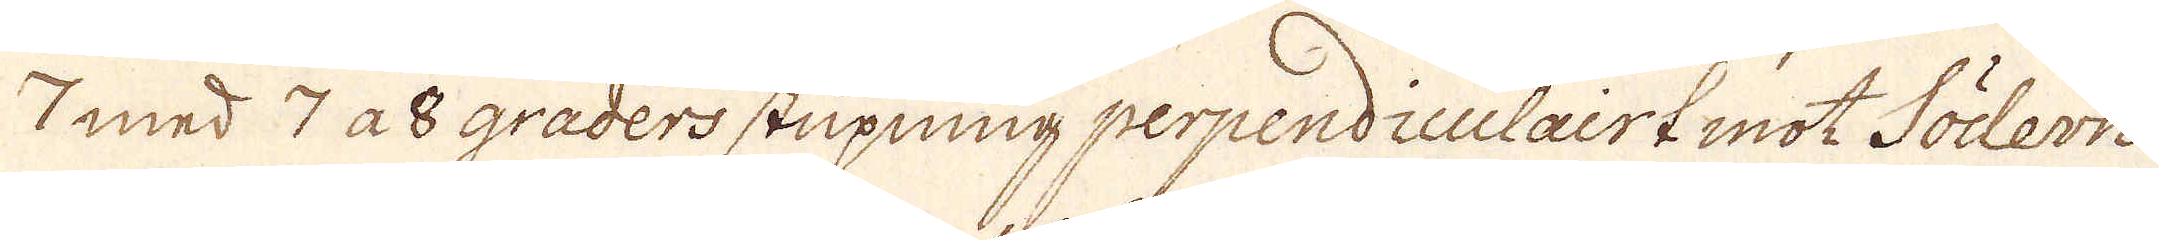7 med 7 a 8 graders stupning perpendiculairt mot Södern.
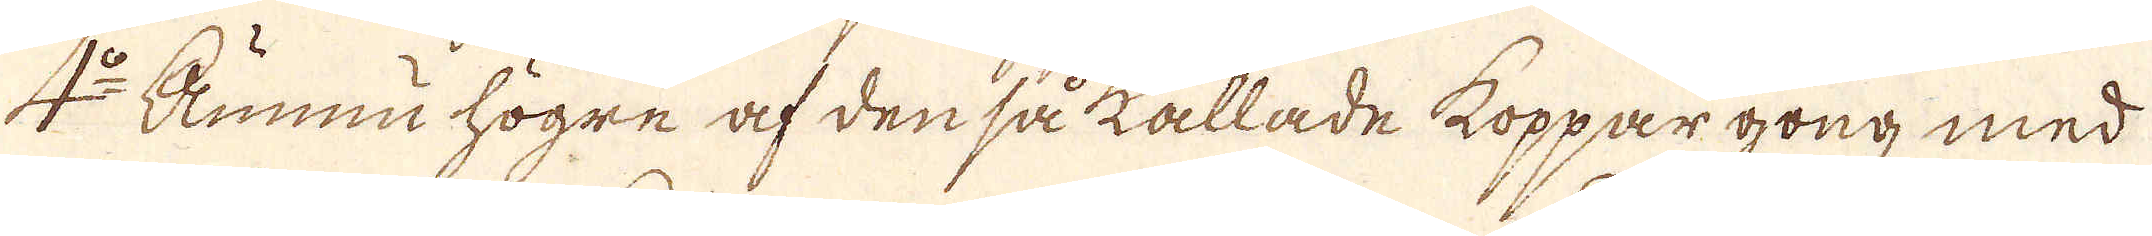4:o Funnu högre af den så kallade koppargong med
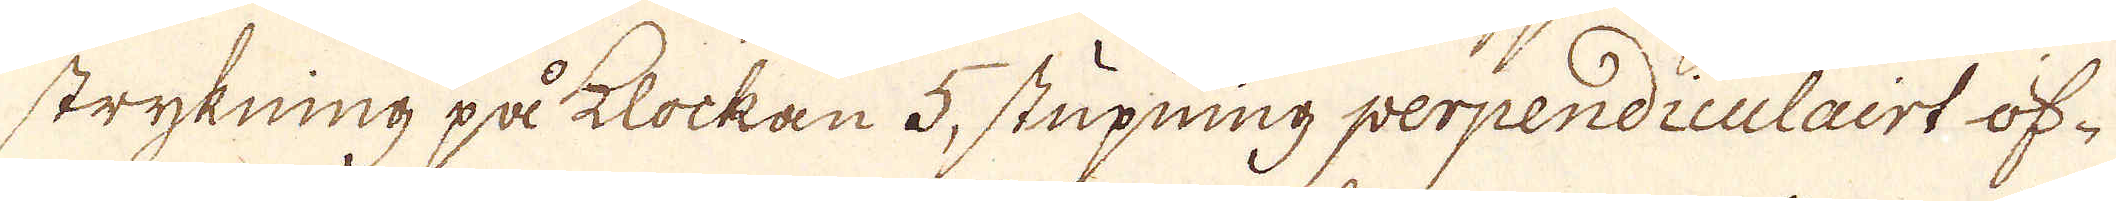strykning på klockan 5, stupning perpendiculairt öf-
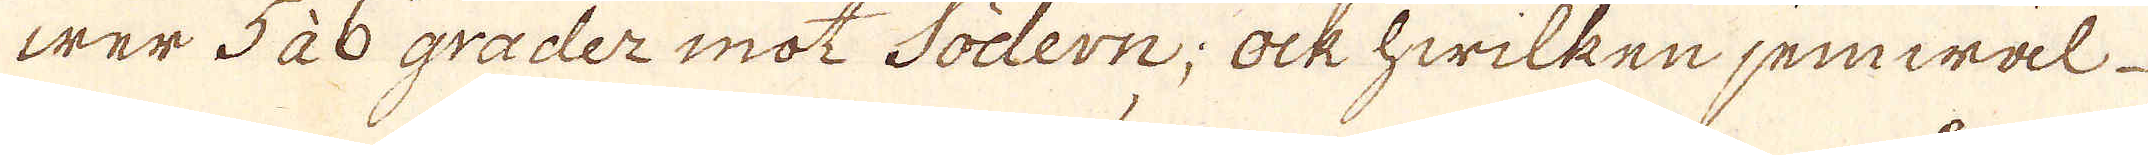wer 5 à 6 grader mot Södern; ock hwilken jemwäl
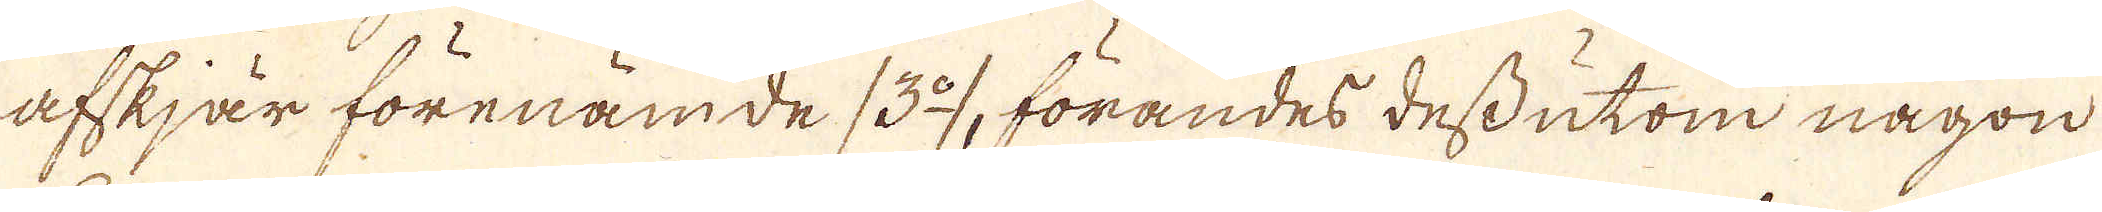afskjär förenämde (3:o), förandes dessutom någon
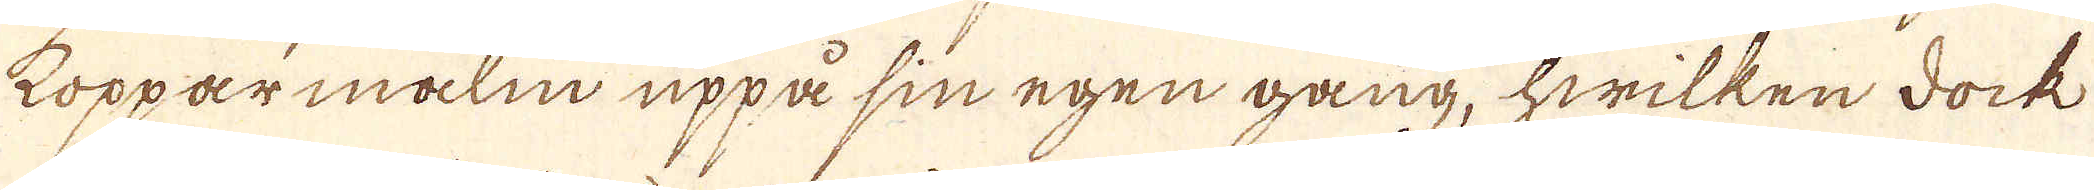Kopparmalm uppå sin egen gång, hwilken dock
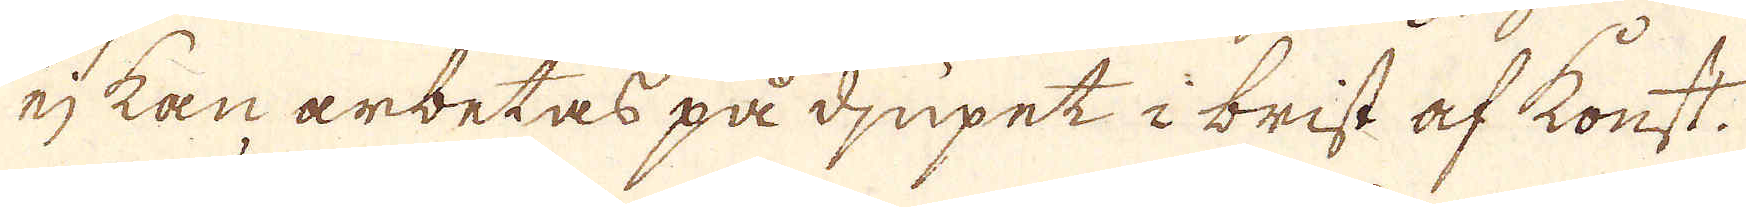ej kan arbetas på djupet i brist af konst.
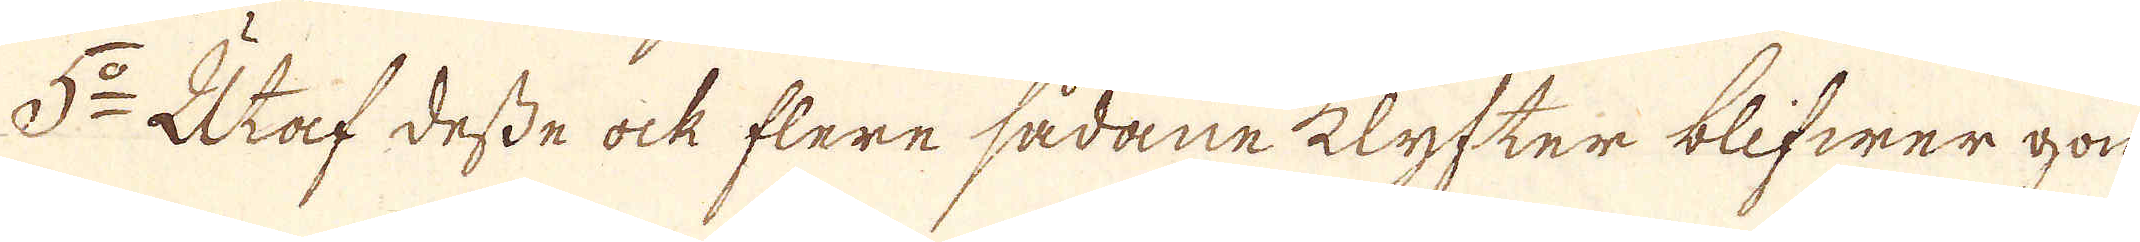5:o Utaf desse ock flere sådane klyfter blifwer gon
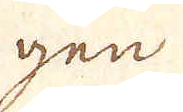gen
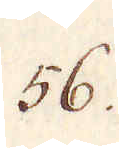56.
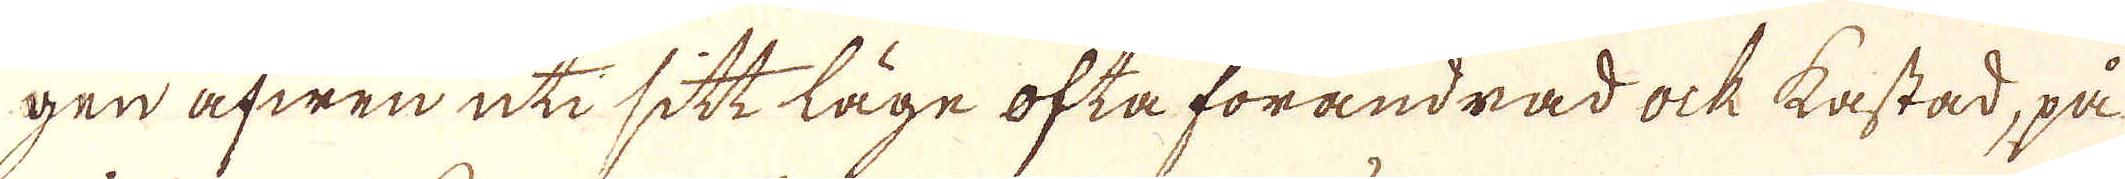gen äfwen uti sitt läge ofta förändrad ock kastad, på
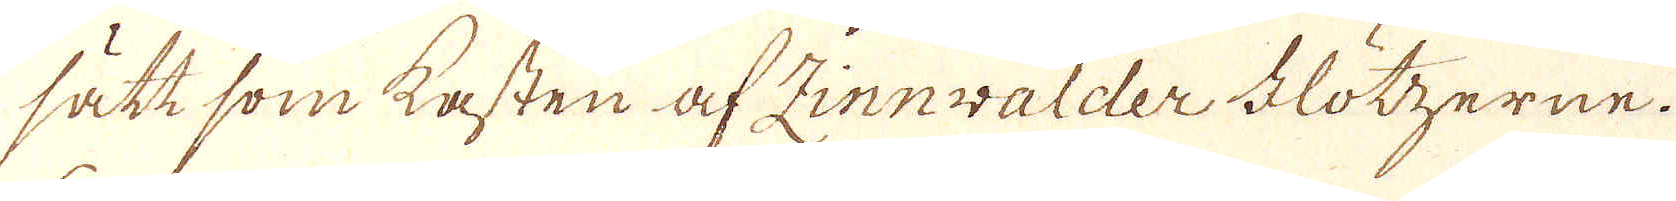sätt som kasten af Zinnwalder Flötzerne.
